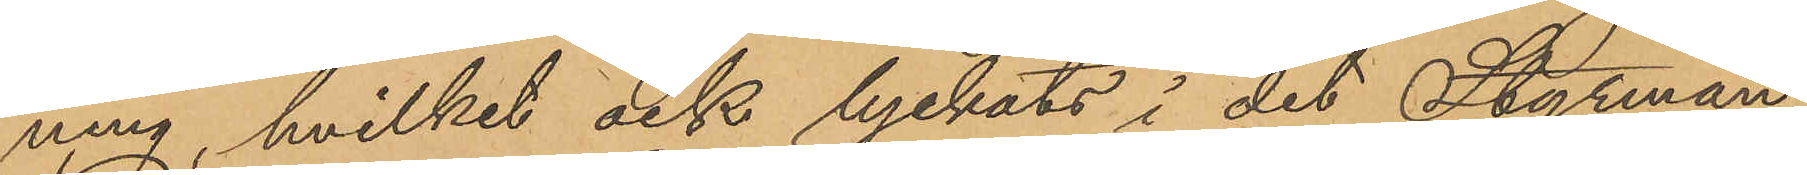ning, hvilket ock lyckats i det Styrman¬
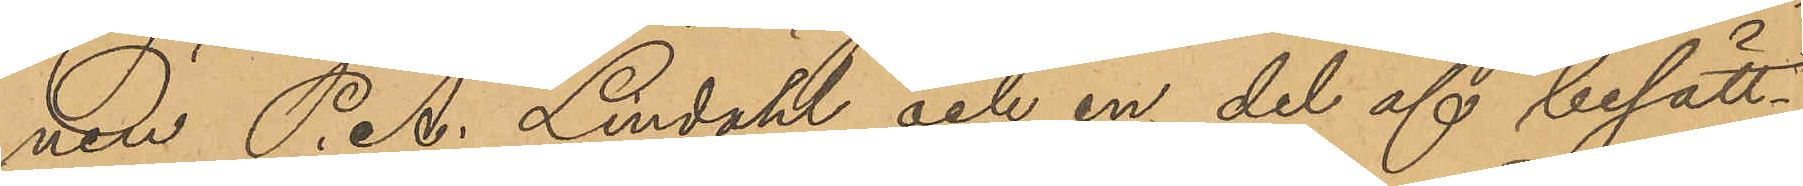nen P. A. Lindahl och en del af besätt¬
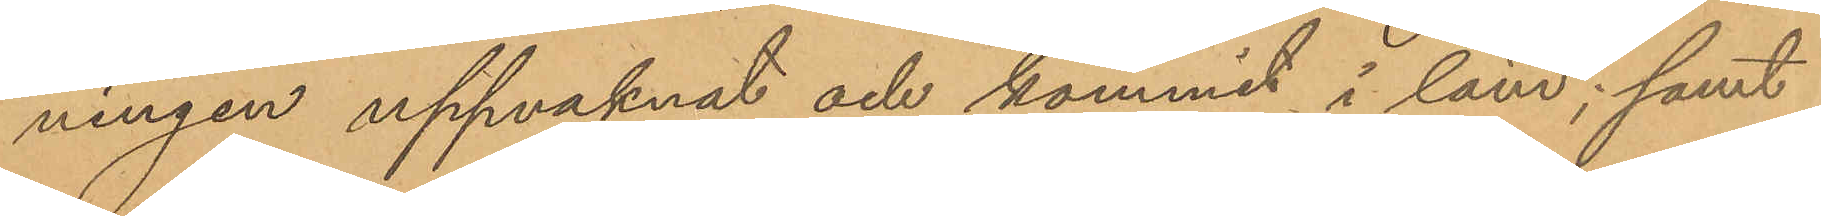ningen uppvaknat och kommit i land; samt
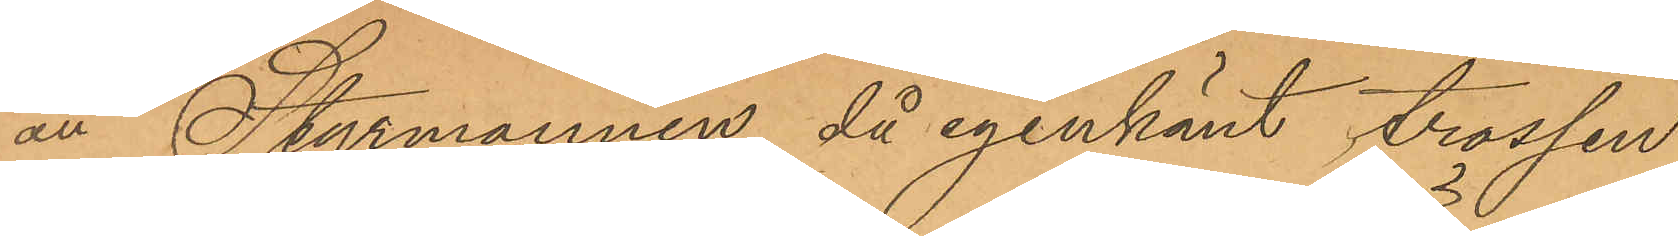att Styrmannen då igenkänt trossen,
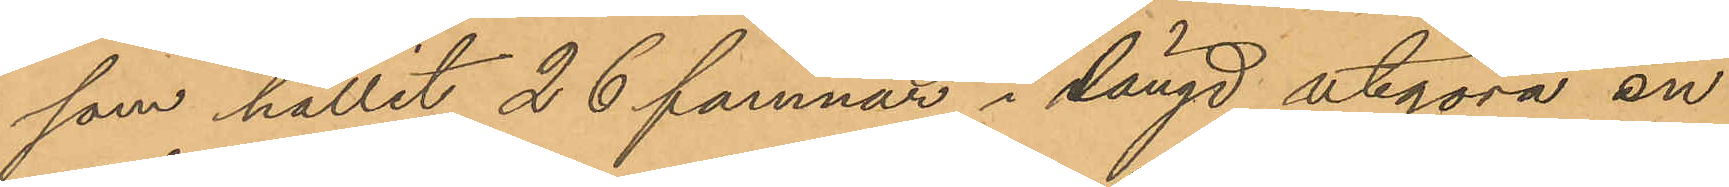som hållit 26 famnar i längd utgöra en
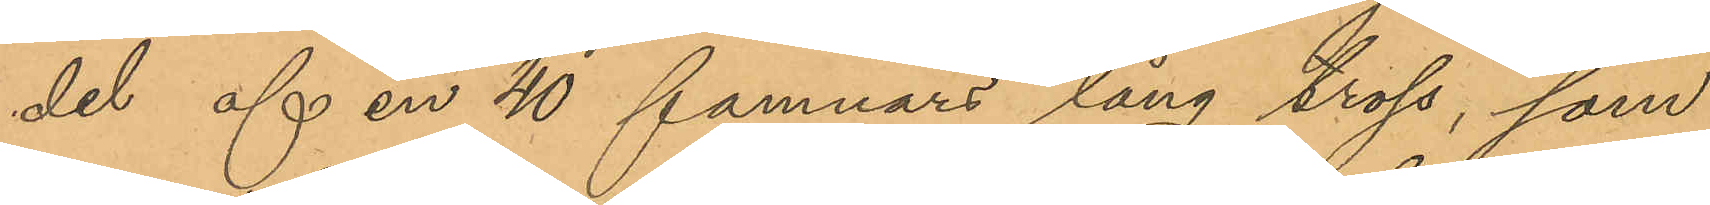del af en 40 famnars lång tross, som
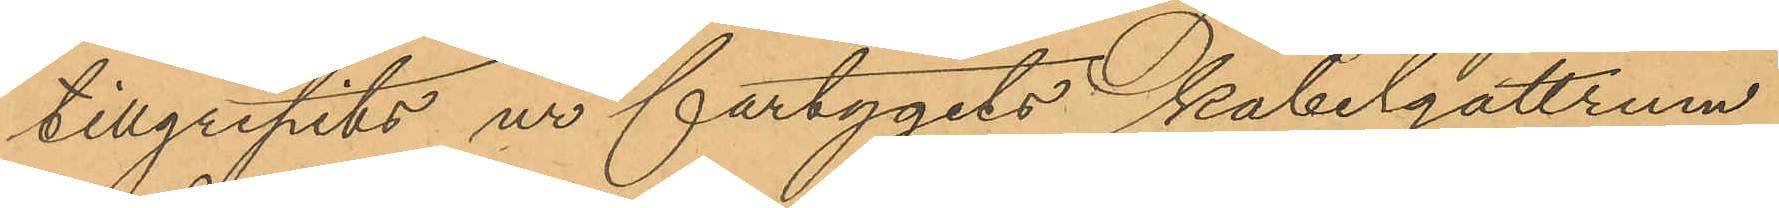tillgripits ur fartygets kabelgattrum.
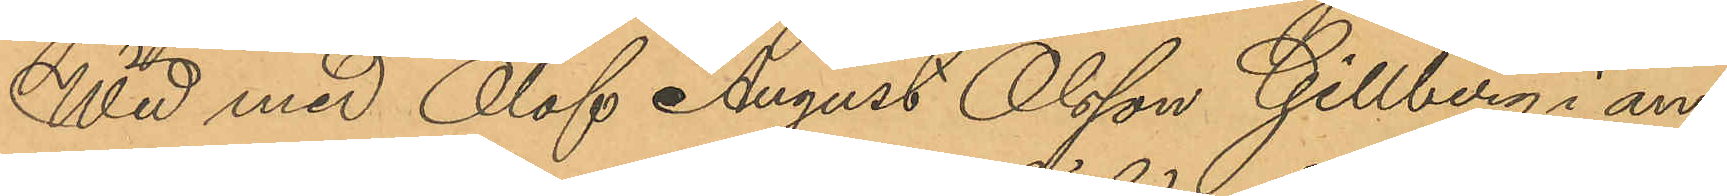Wid med Olof August Olsson Gillberg i an¬
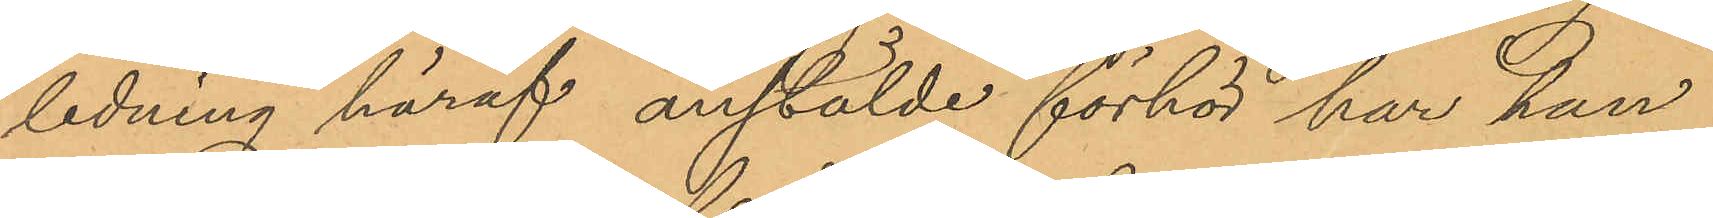ledning häraf anstälde förhör har han
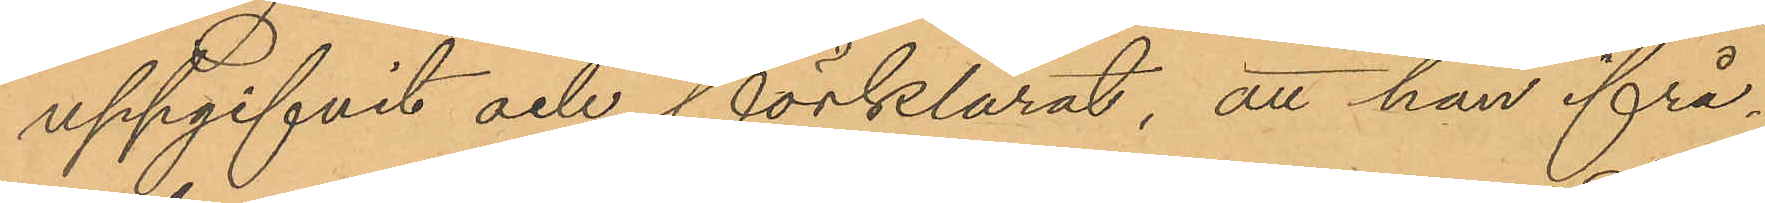uppgifvit och förklarat, att han ifrå¬
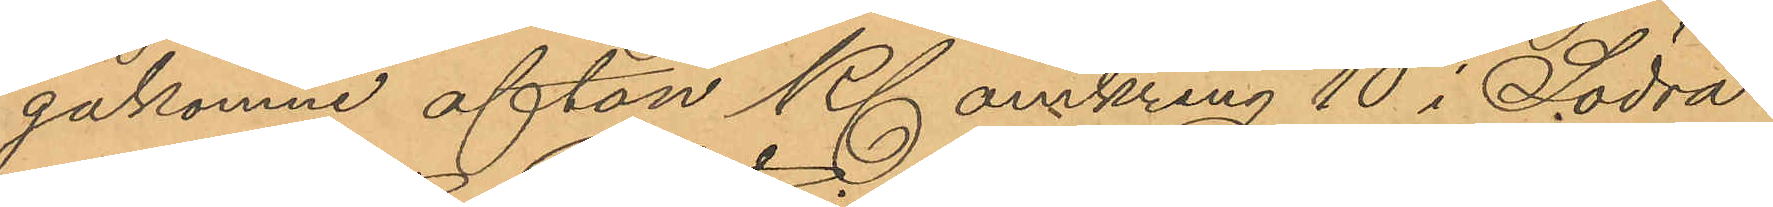gakomne afton Kl omkring 10 i Södra
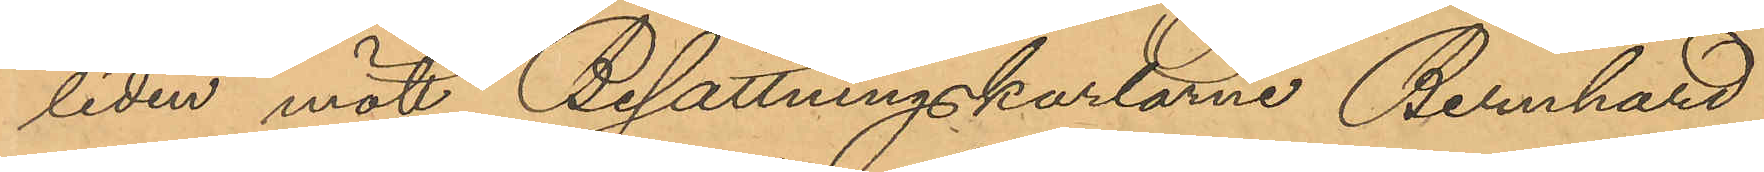liden mött Besättningskarlarne Bernhard
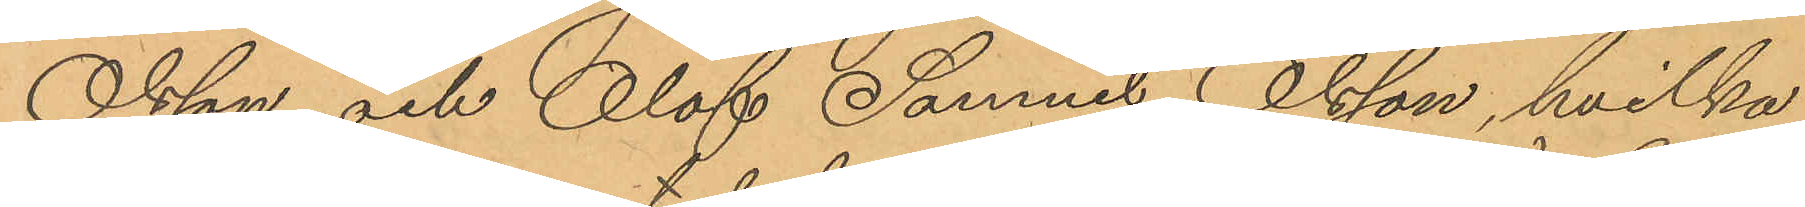Olsson och Olof Samuel Olsson, hvilka
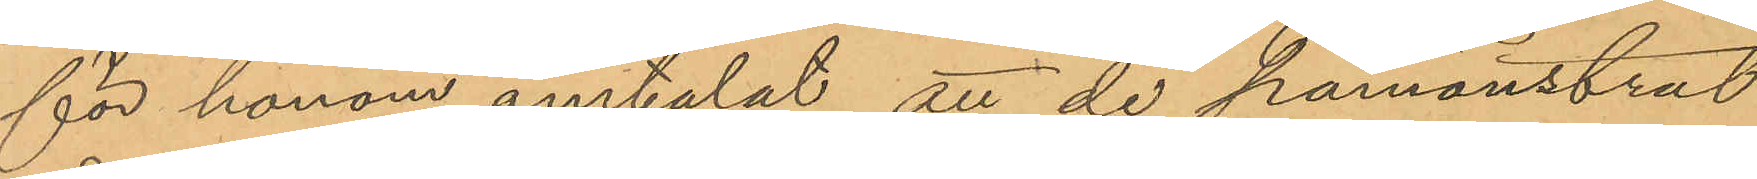för honom omtalat att de påmönstrat
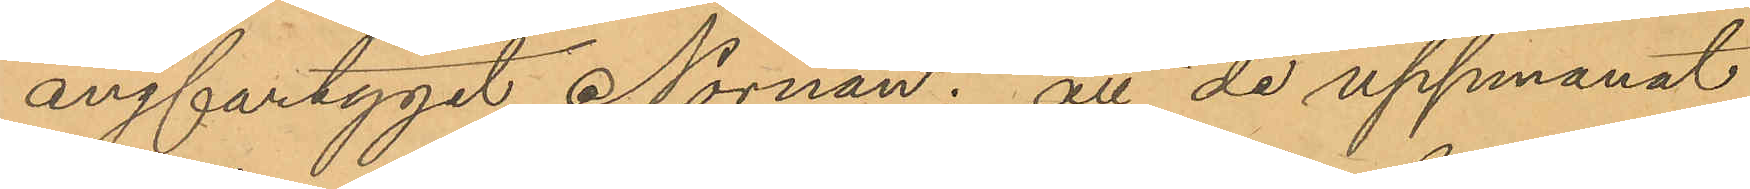ångfartyget Nornan; att de uppmanat
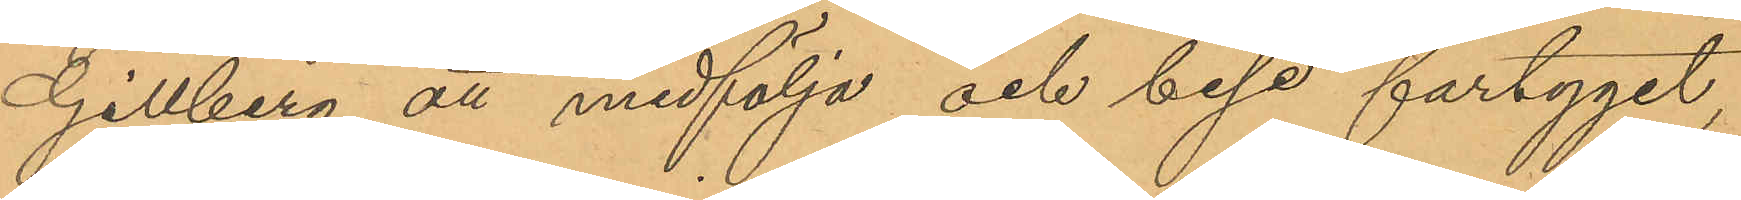Gillberg att medfölja och bese fartyget,
